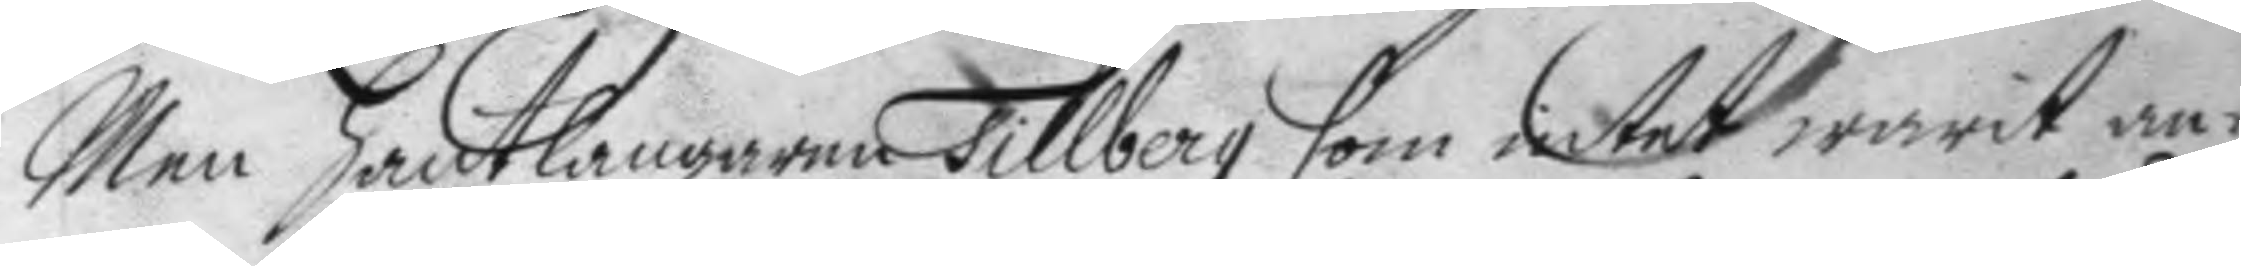Men hantlangaren Tillberg som intet warit an¬
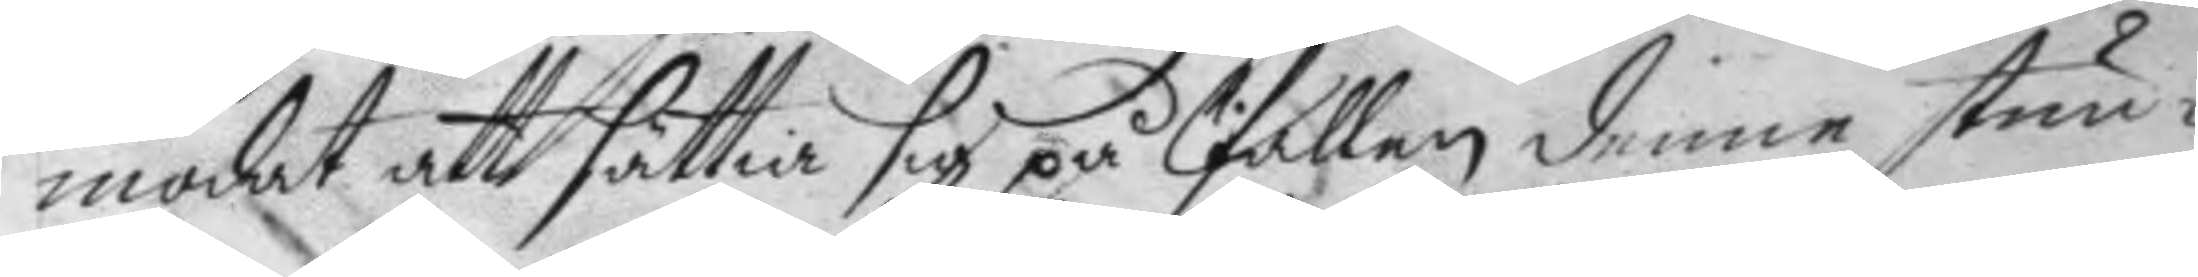modat att sättia sig på pallen denne stun¬
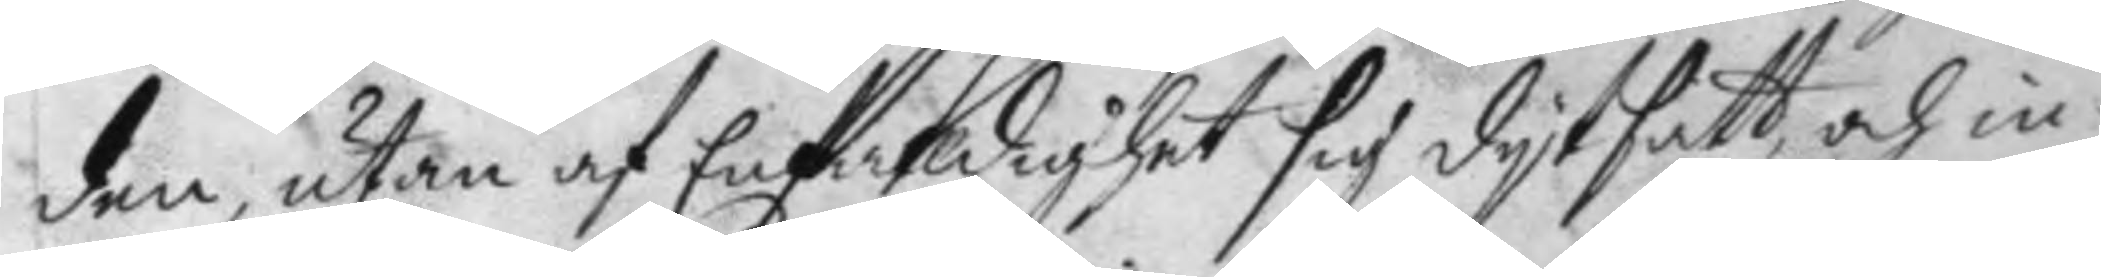den, utan af Enfaldighet sig dytsatt och in¬
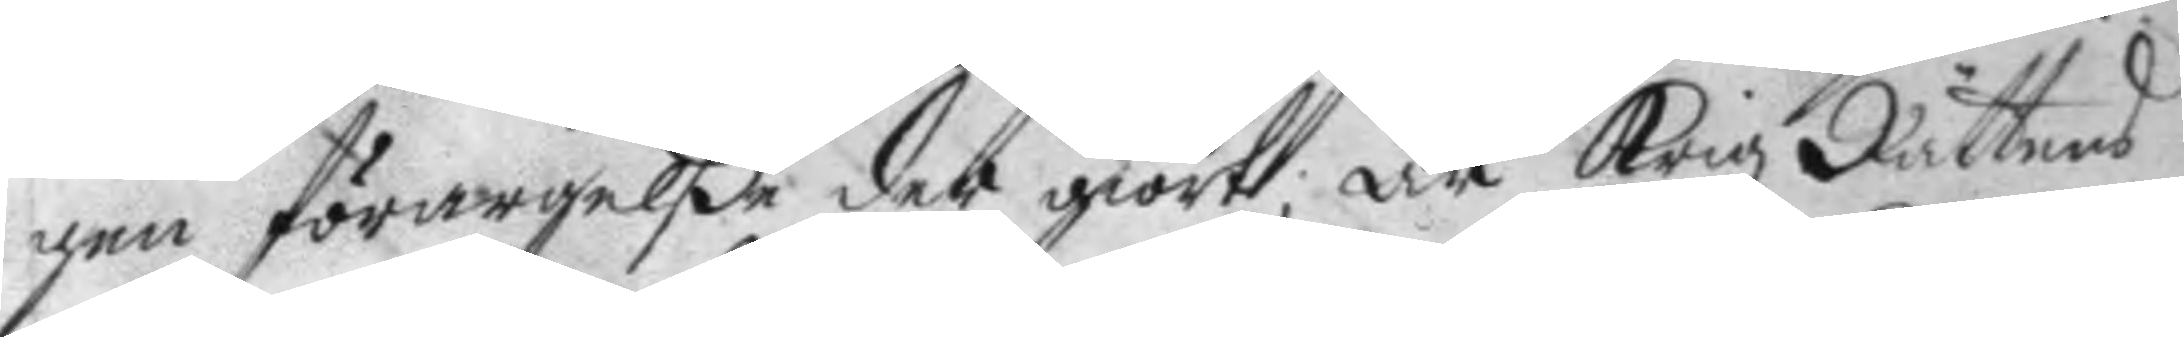gen förargelße der giort; är Krigz Rättens
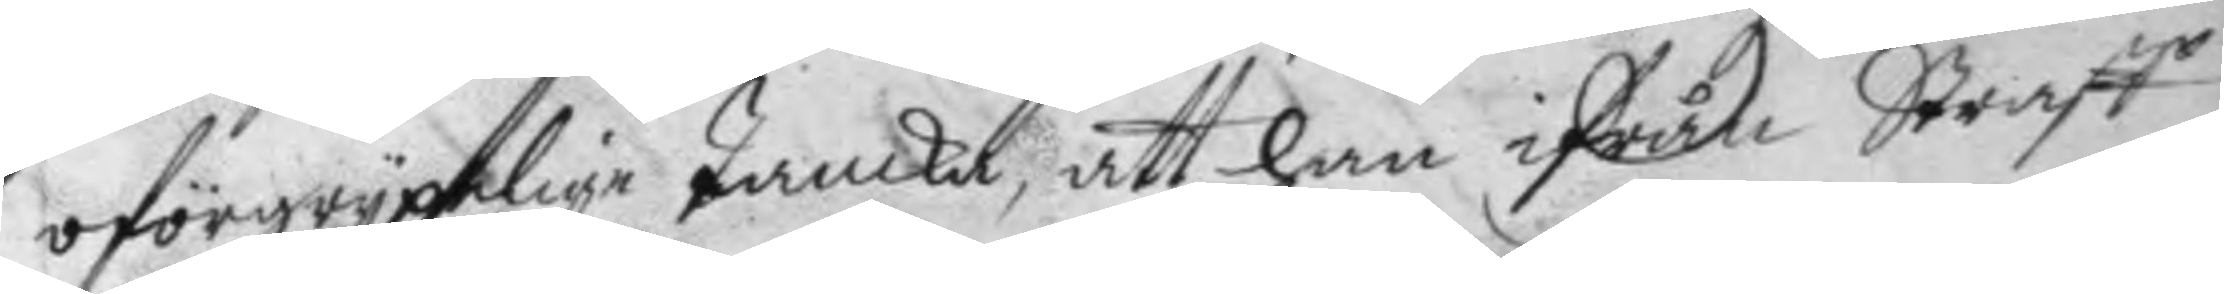oförgrypelige Tanka, att han ifrån Straff
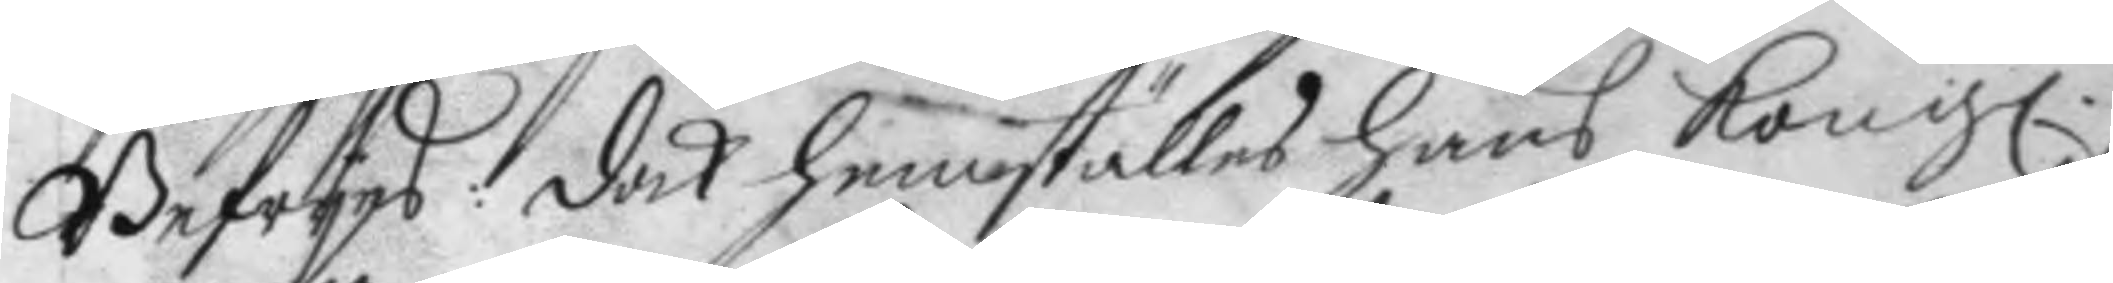Befryes: dock hemställes hans Kong.
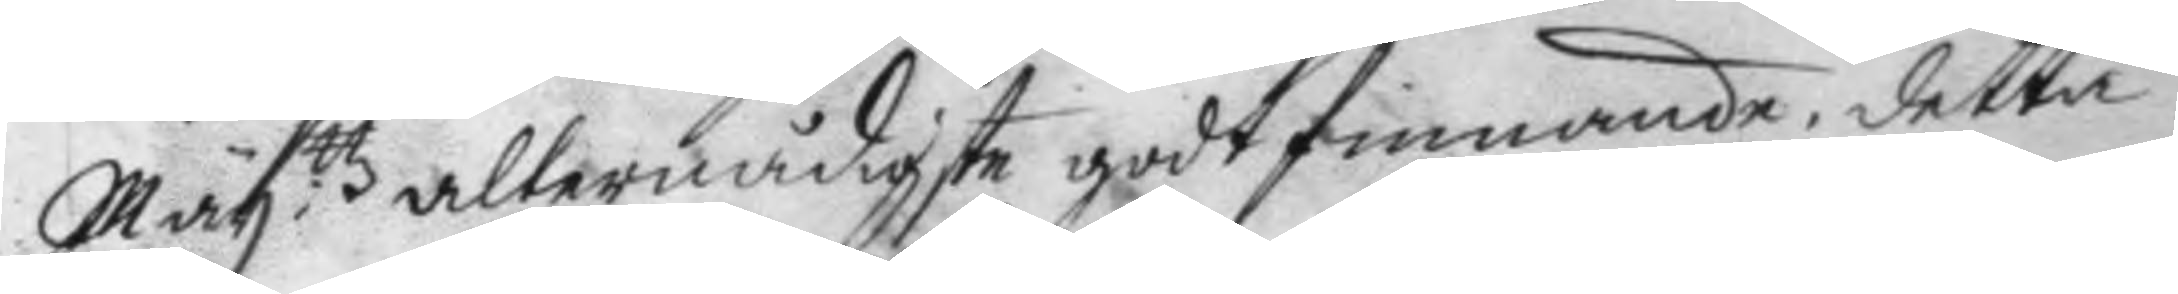May.ttz alternådigste godtfinnande, detta
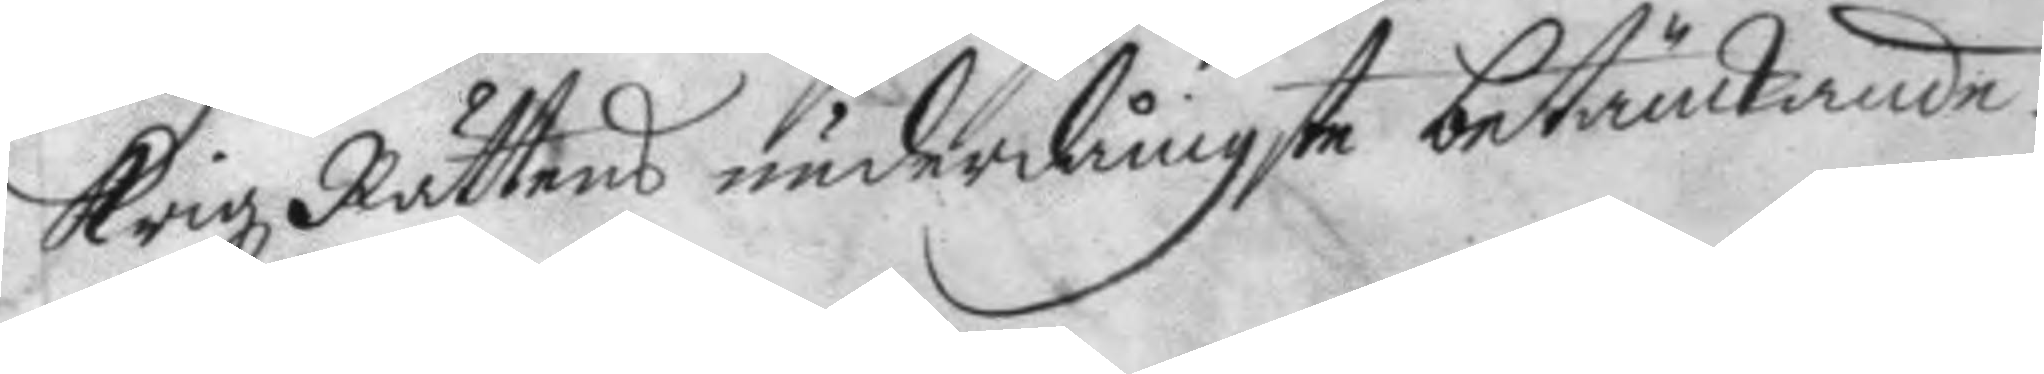Krigz Rättens underdånigste betänckande.
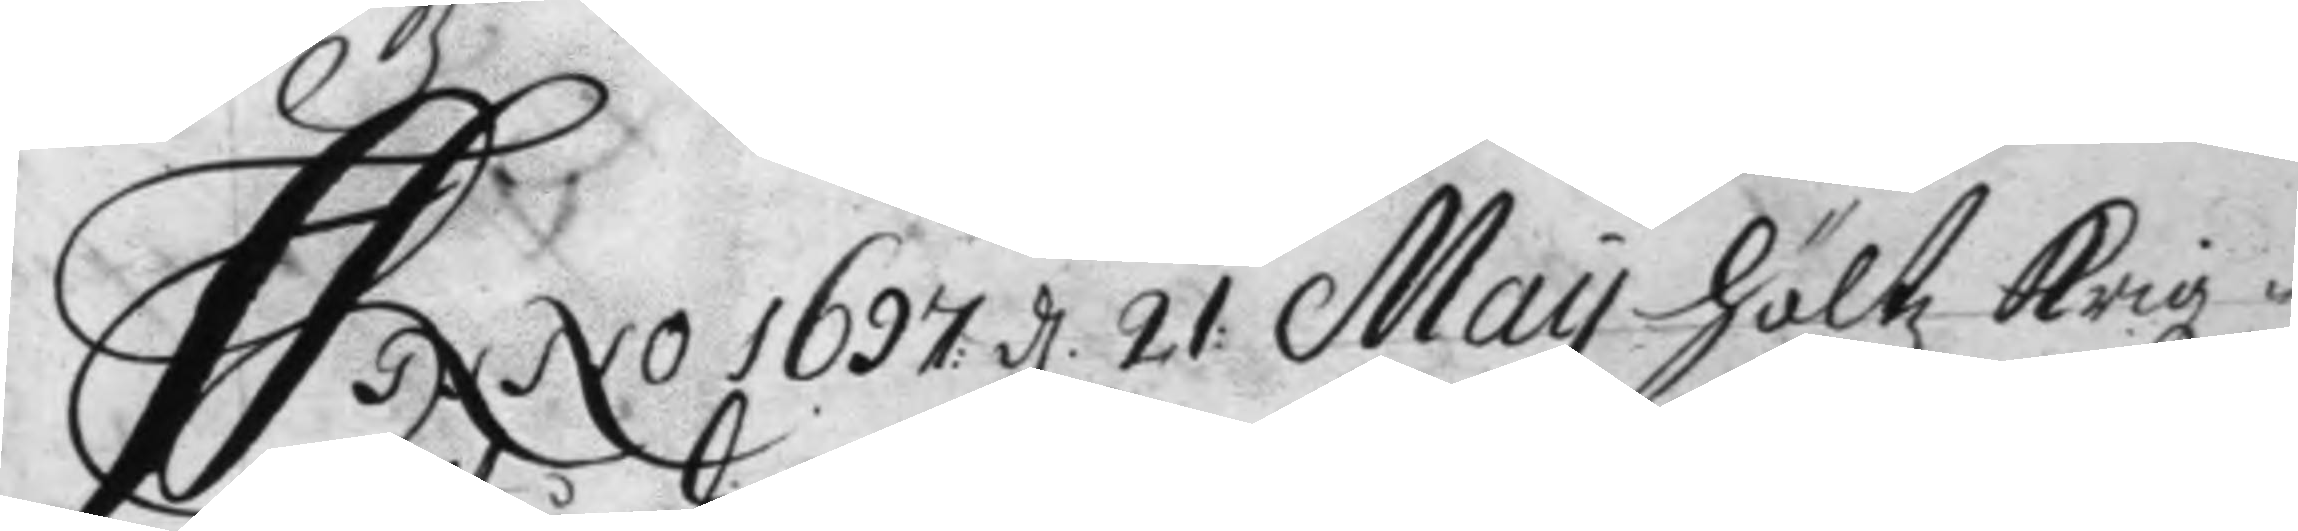Anno 1697: d. 21: May höltz Krigz¬
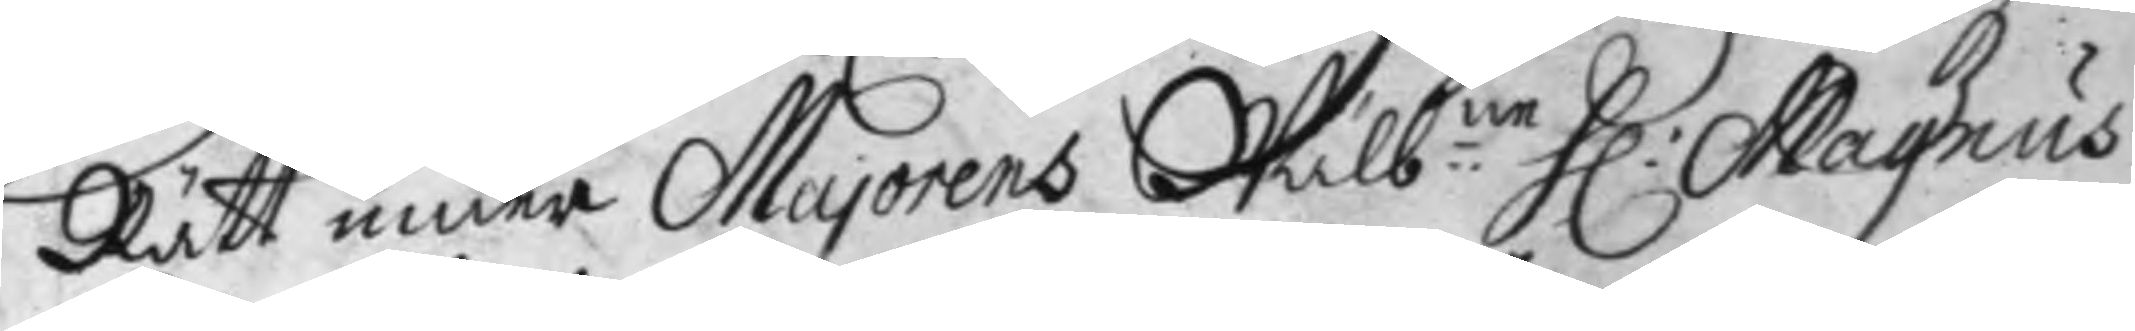Rätt under Majorens Wälb:ne H: Magnus
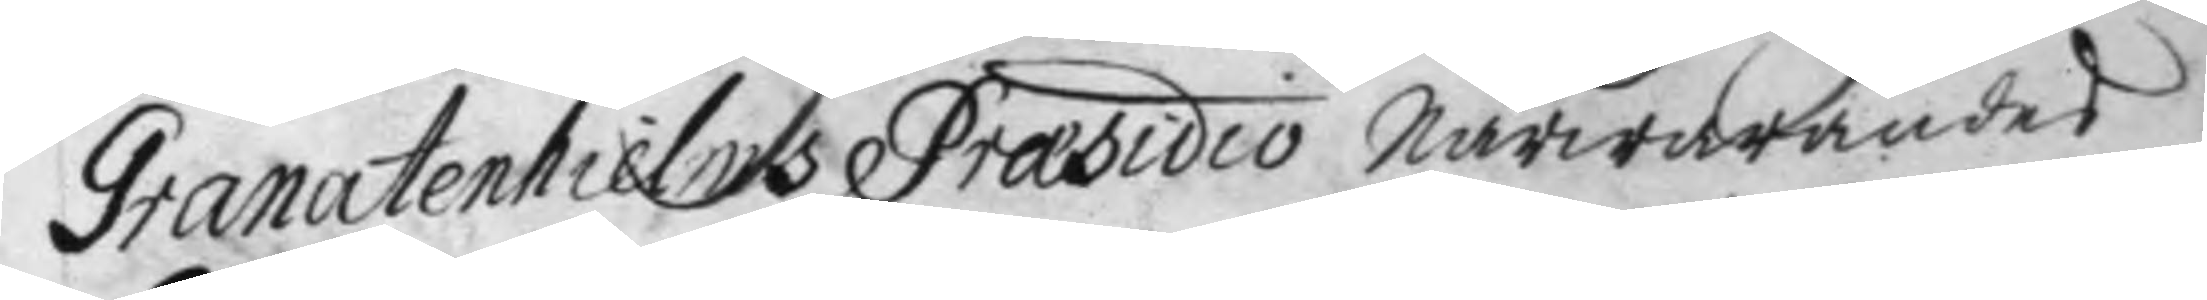Granatenhielms Præsidio närwarandes
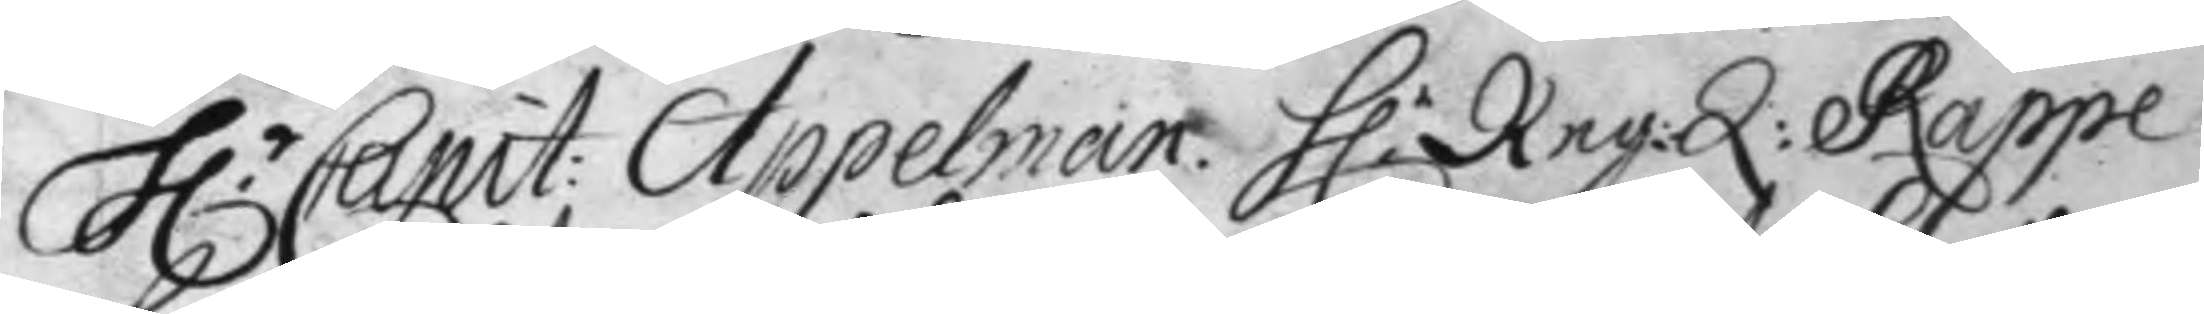H.r Capit: Appelman. H.r Reg:Q: Rappe.
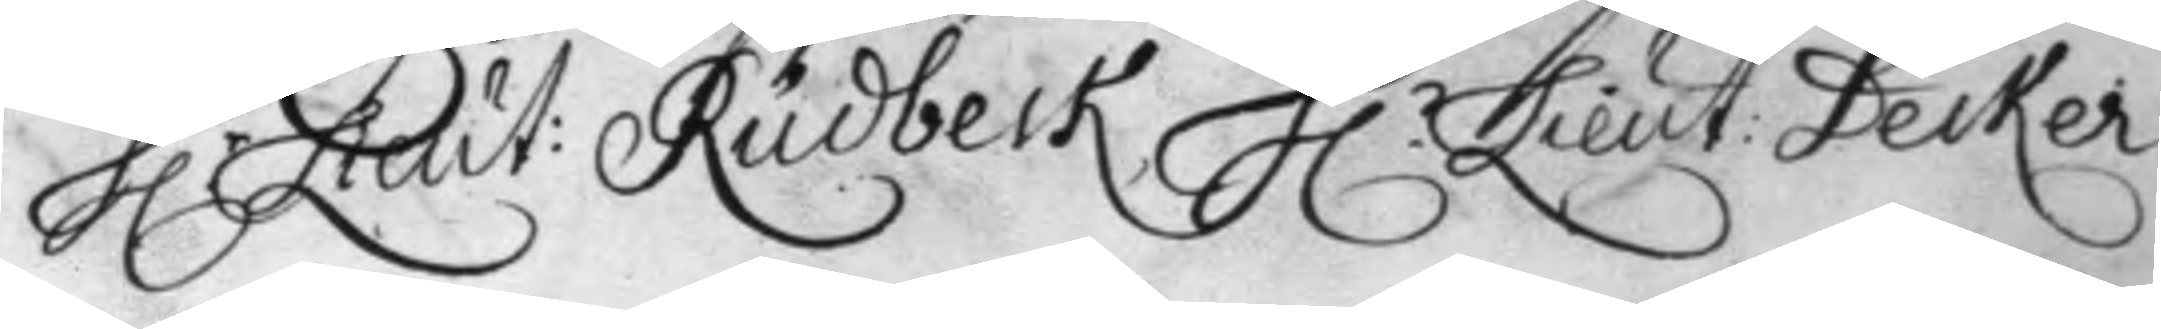H.r Leut: Rudbeck, H.r Lieut: Decker
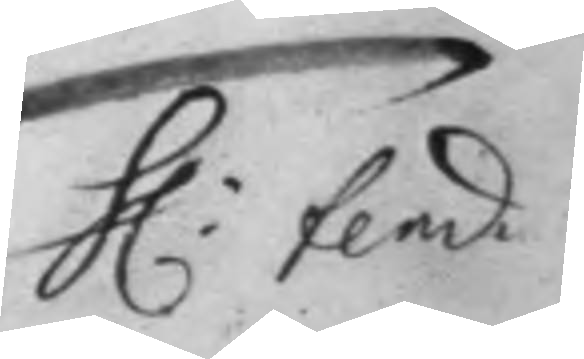H: fend
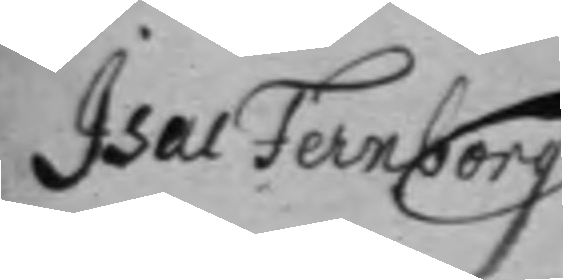Isac Fernborg
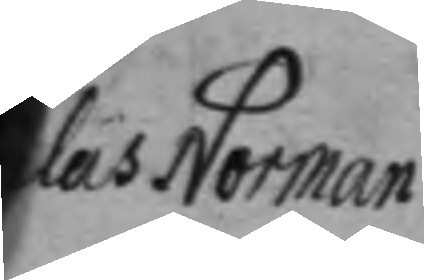Clas Norman
